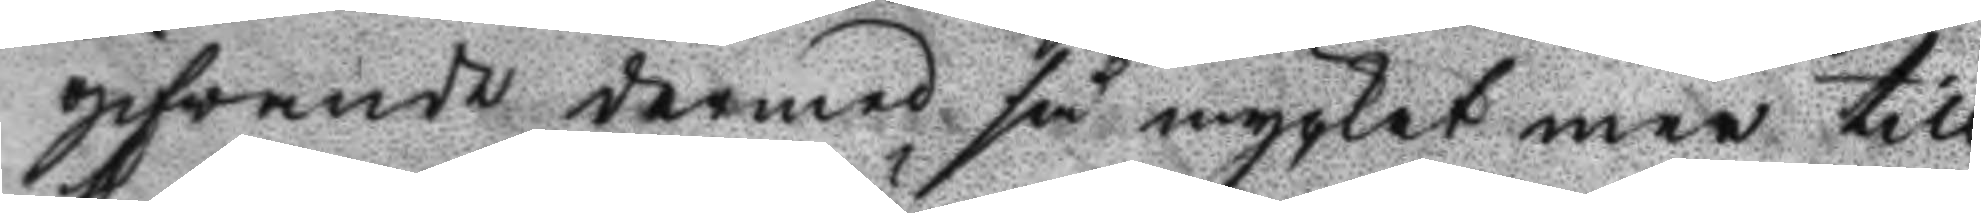gifvandes dermed så mycket mer till
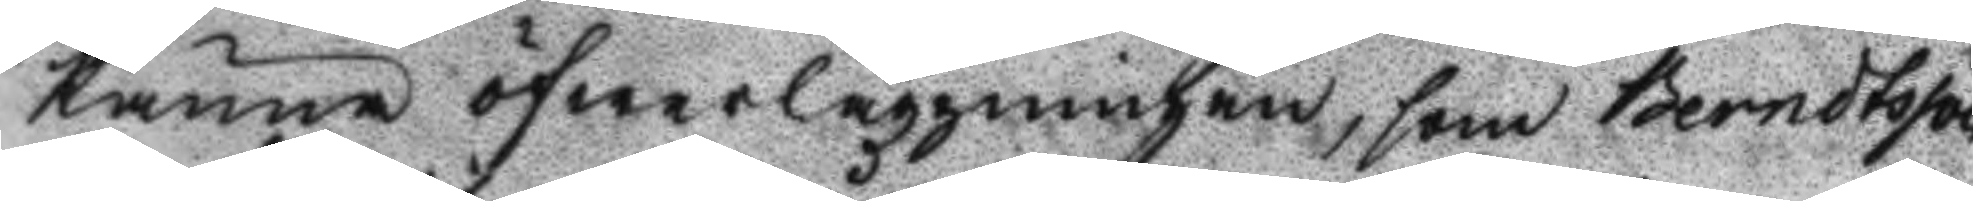känna öfwerläggningen, som Berndtsson
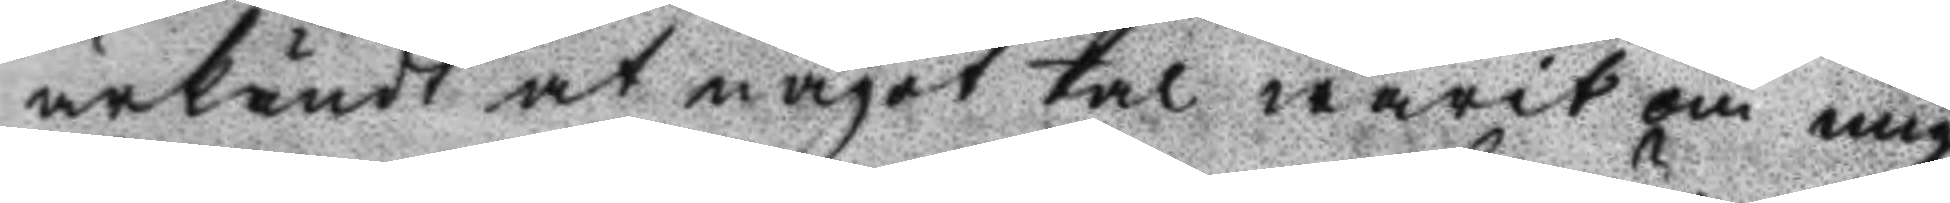ärkänt at något tal warit om mig
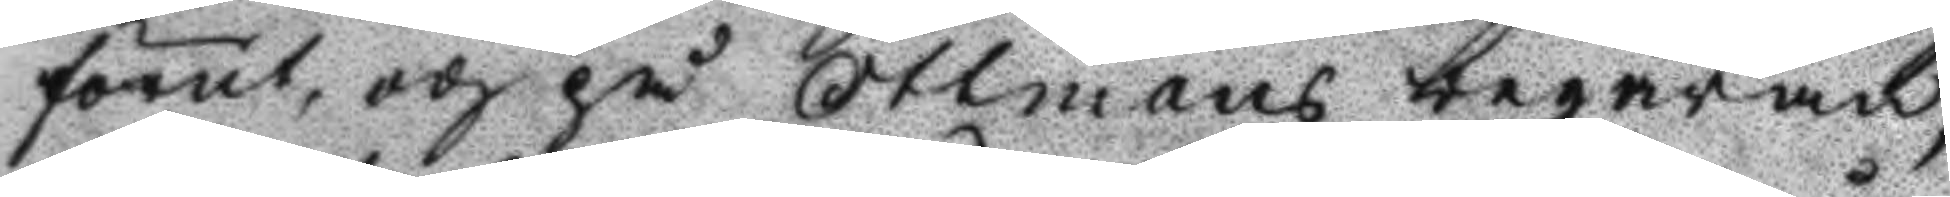förut, och på Ottmans begäran,
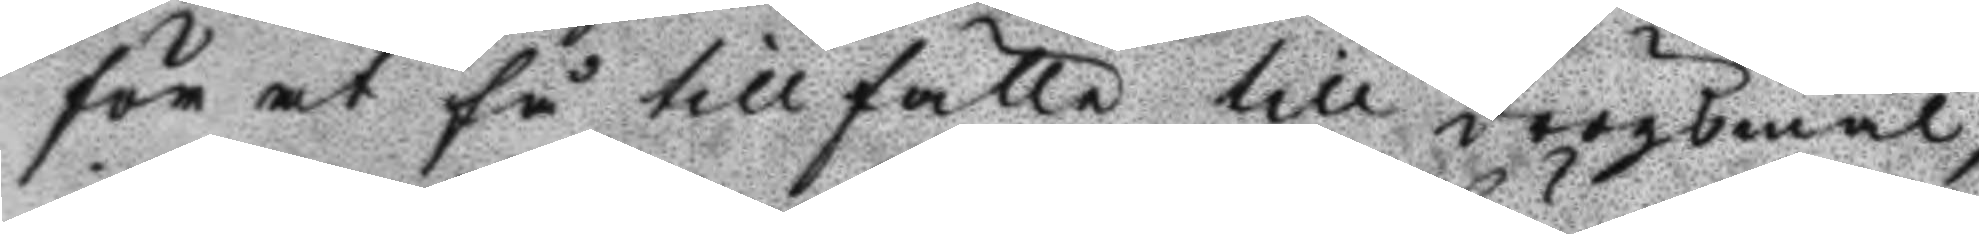för at få tillfälle till drögsmål,
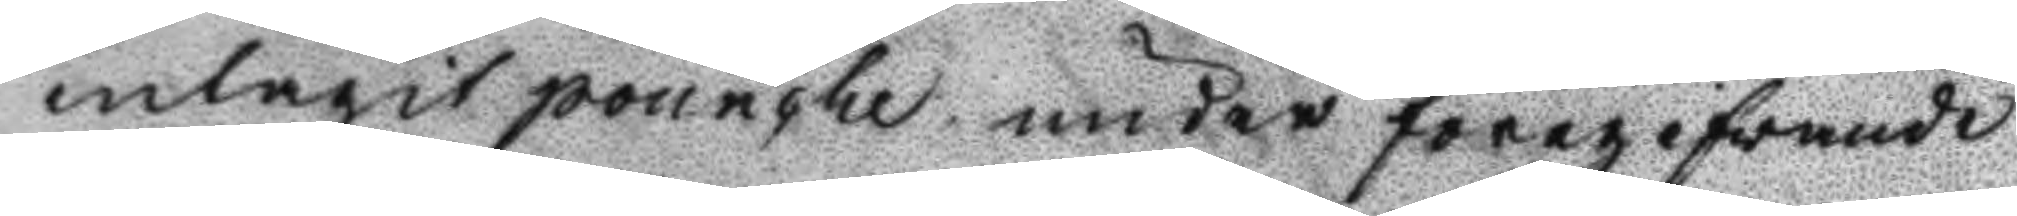intagit pounche under föregifvande
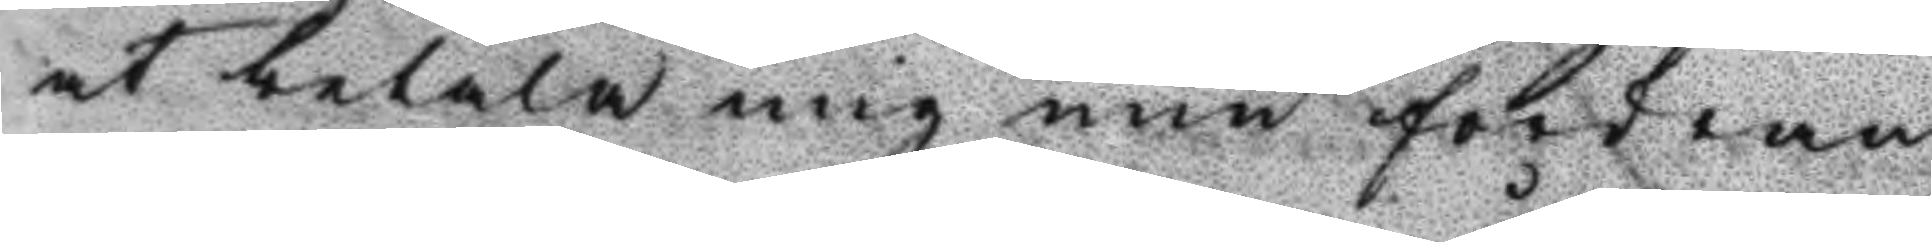at betala mig min fordran
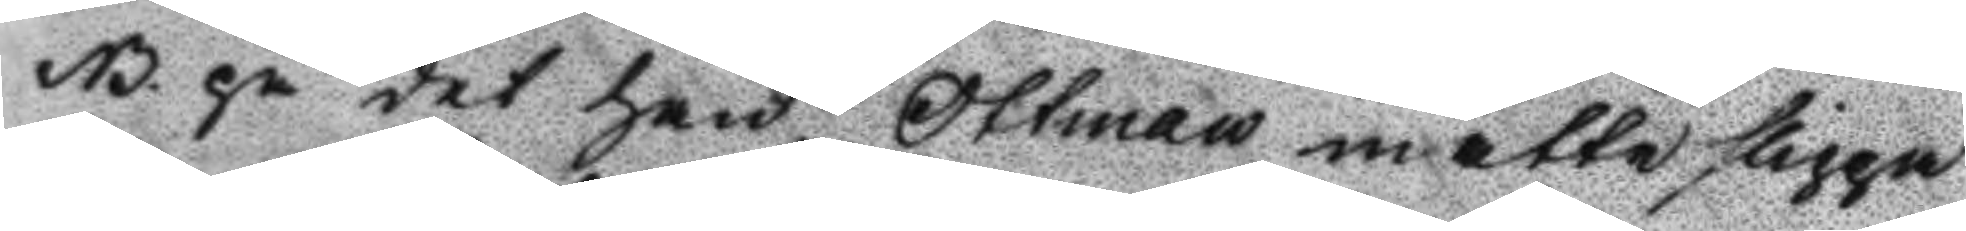NB. på det han Ottman måtte slippa 
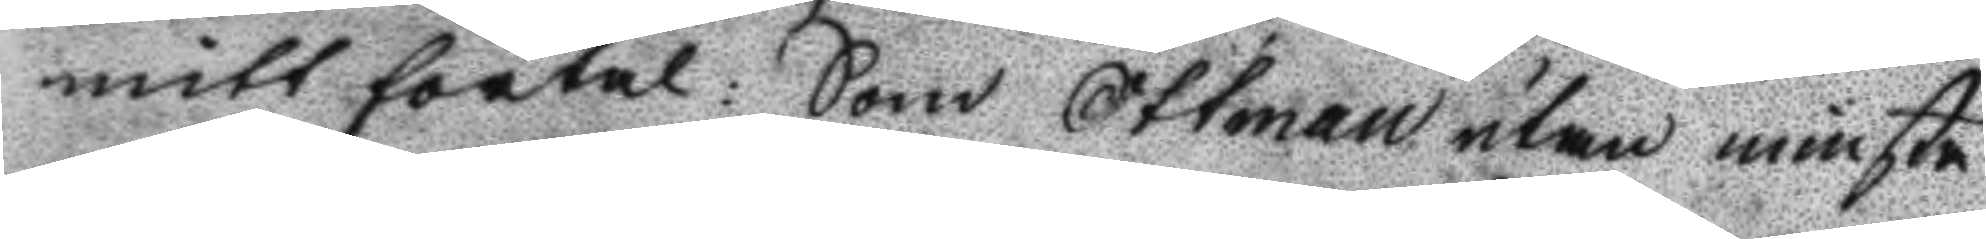mitt förtal: Som Ottman utan minsta
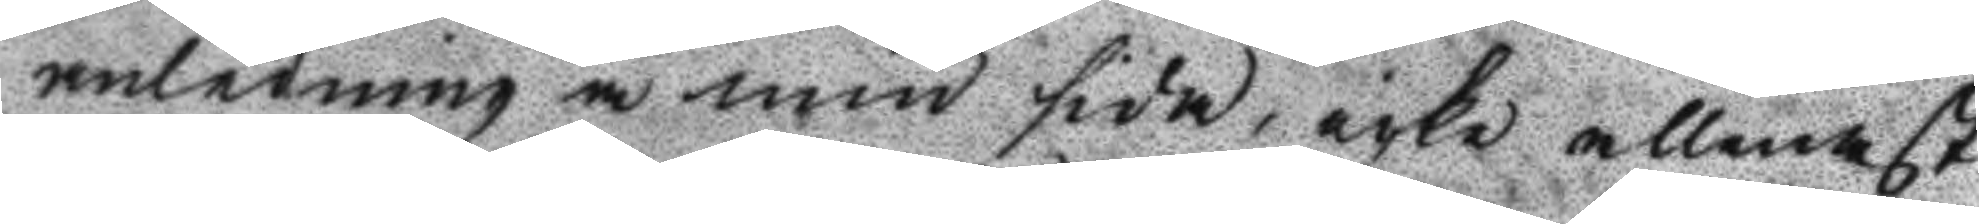anledning å min sida, icke allenast
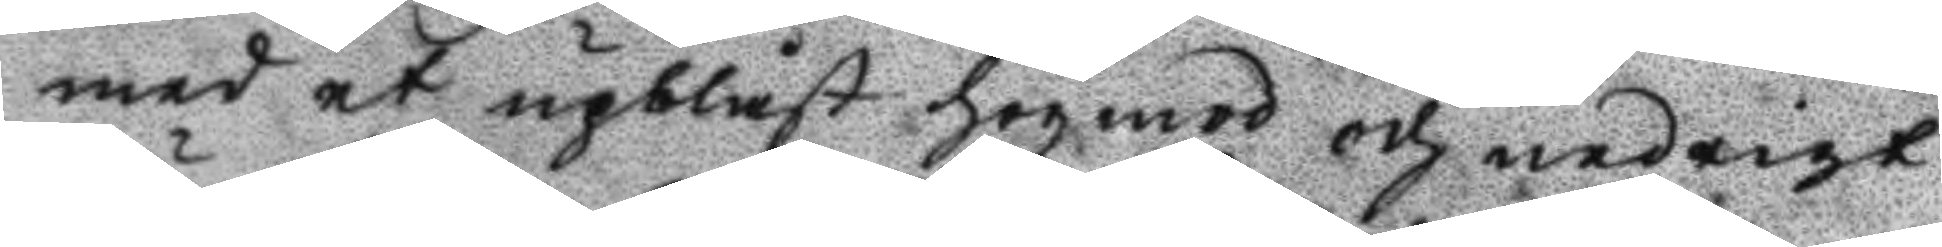med et upblåst högmod och nedrigt
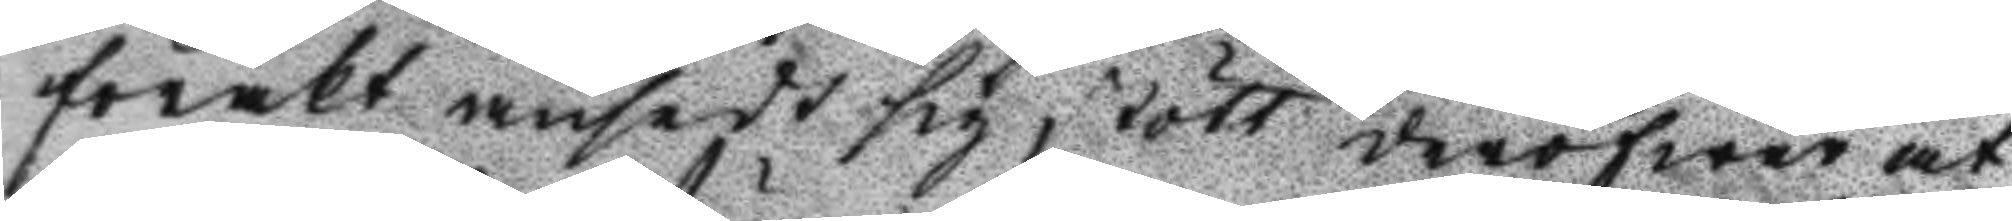förakt ansedt sig stött deröfwer at
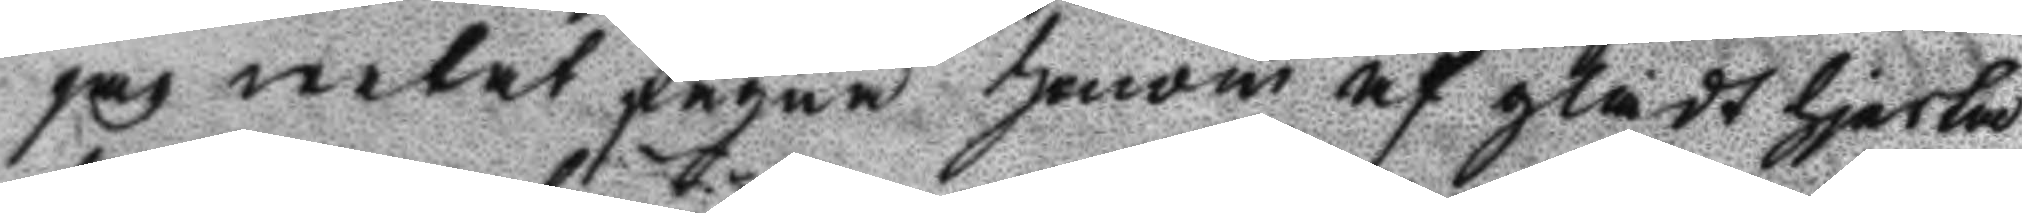jag wetat fägna honom af glatt hjerta
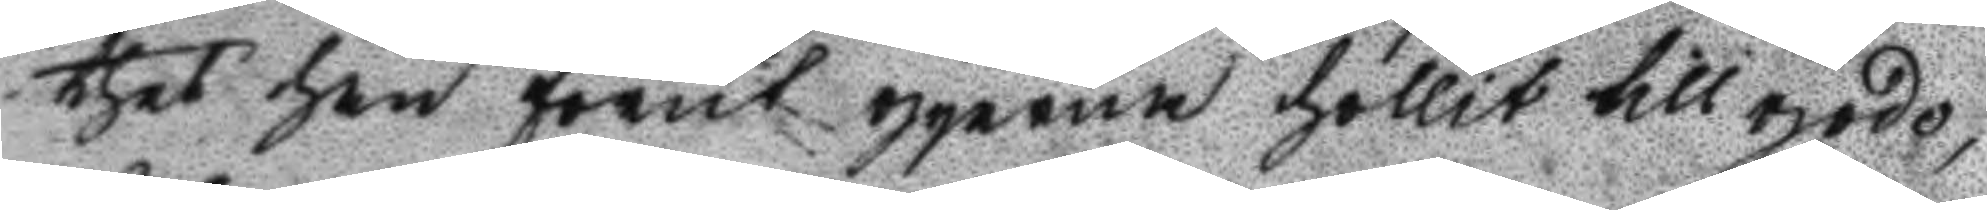thet han förut ojerna hollit till godo,
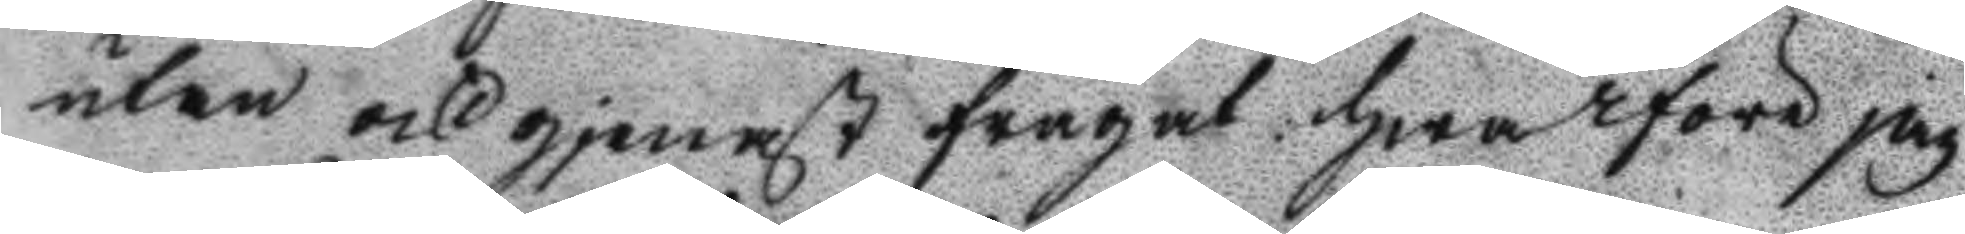utan och gjenast frågat hwarföre jag
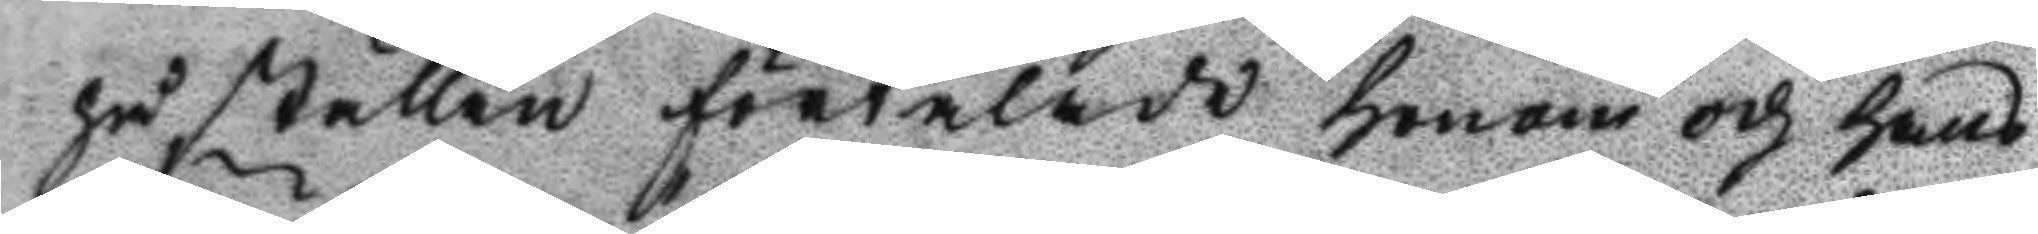på ställen förtalade honom och hans
